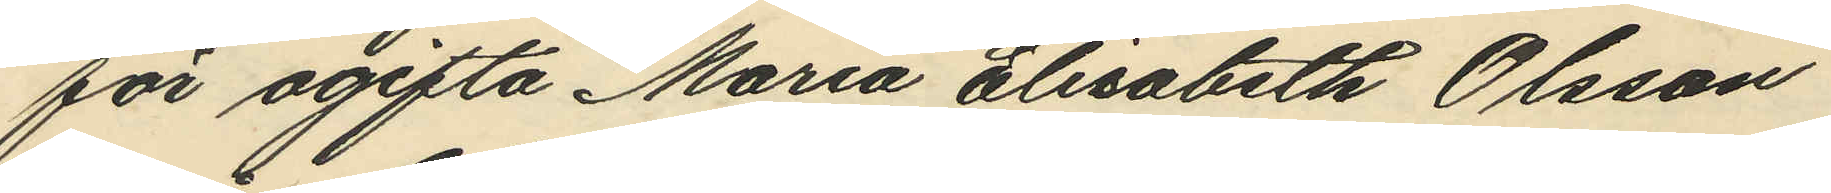för ogifta Maria Elisabeth Olsson
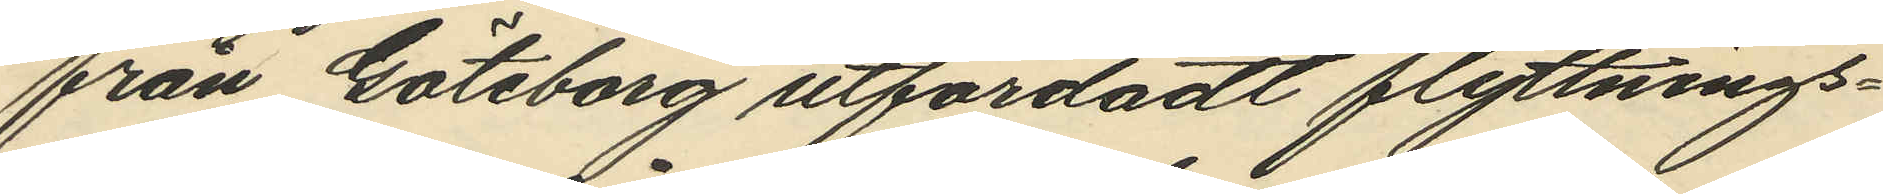från Göteborg utfärdadt flyttnings¬
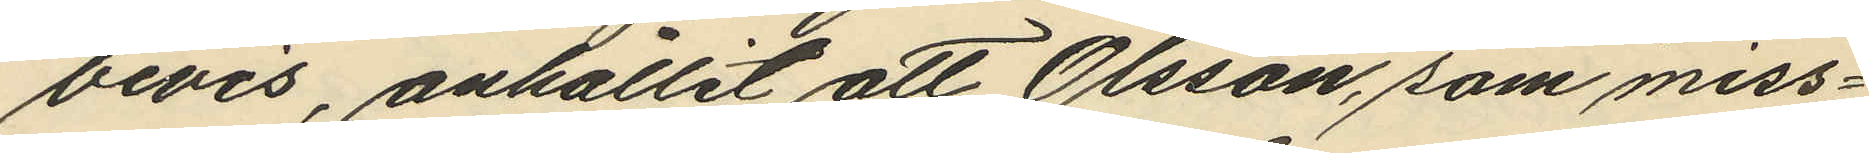bevis, anhållit att Olsson, som miss¬
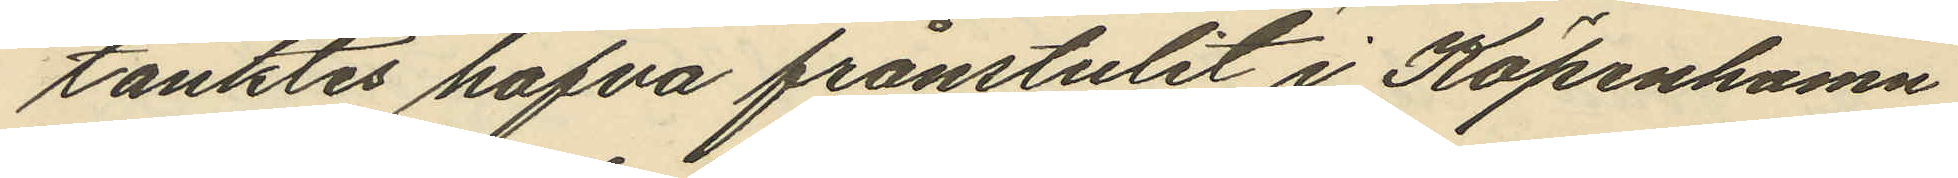tänktes hafva frånstulit i Köpenhamn
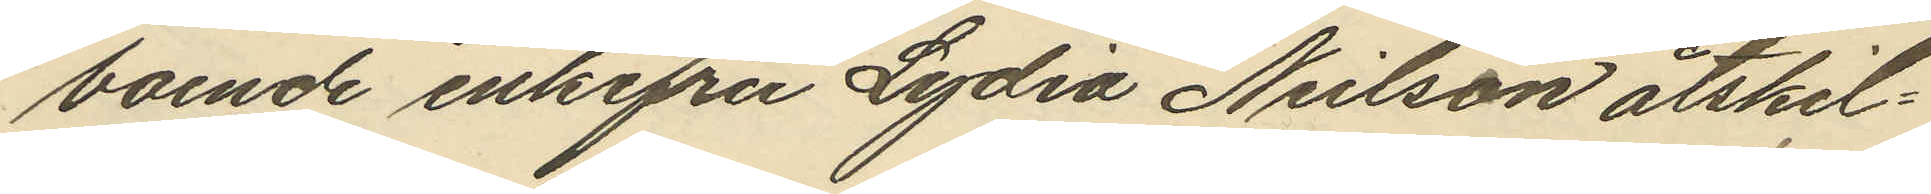boende enkefru Lydia Neilson åtskil¬
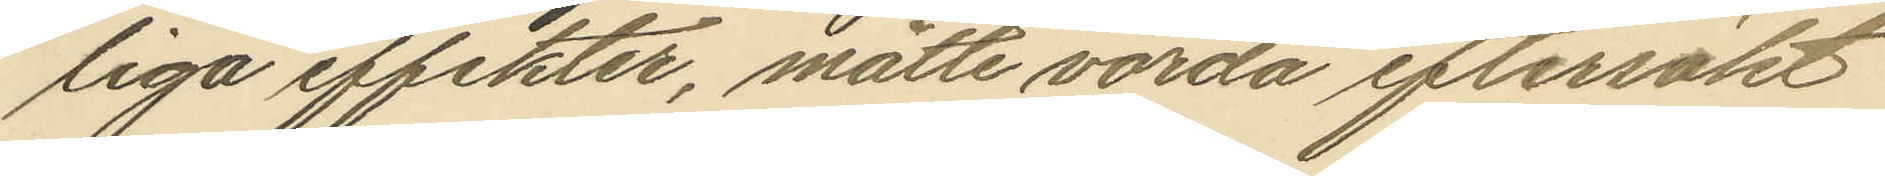liga effekter, måtte varda eftersökt
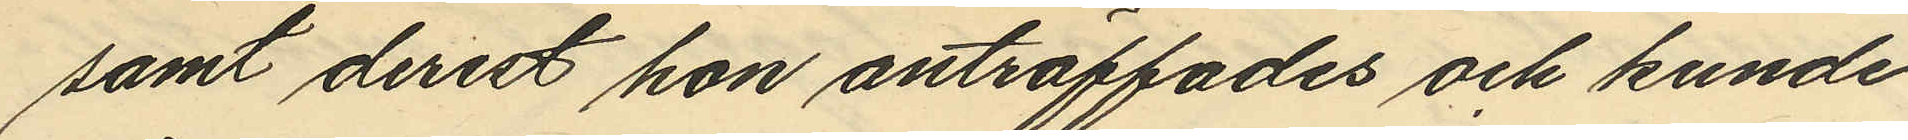samt derest hon anträffades och kunde
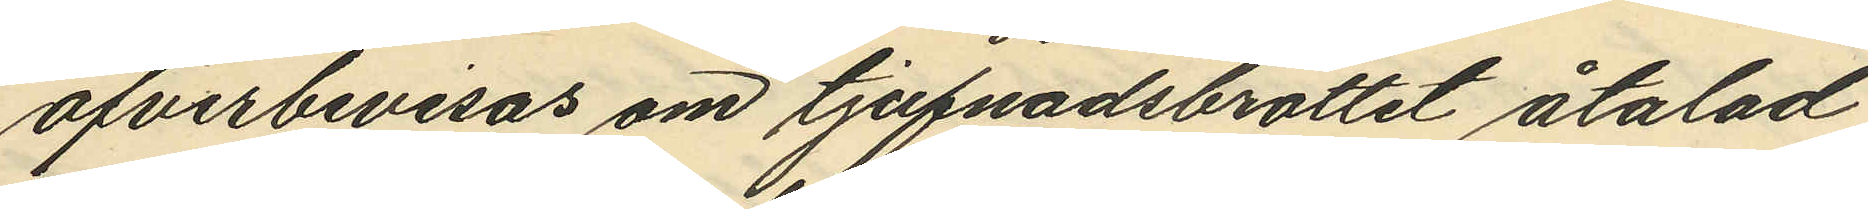öfverbevisas om tjufnadsbrottet åtalad
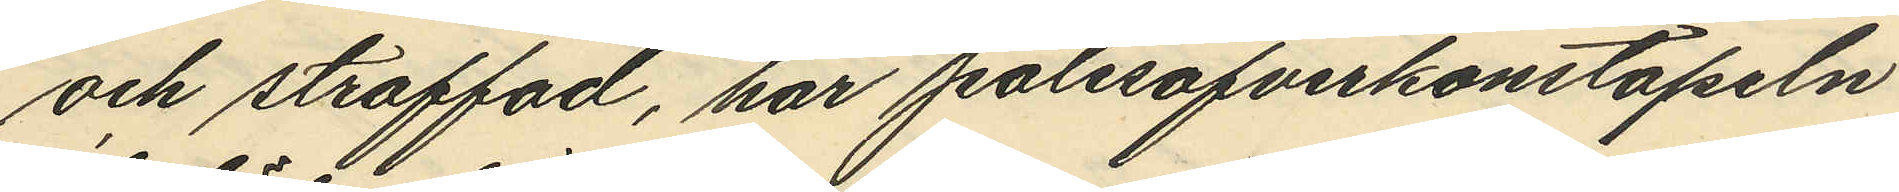och straffad, har polisöfverkonstapeln
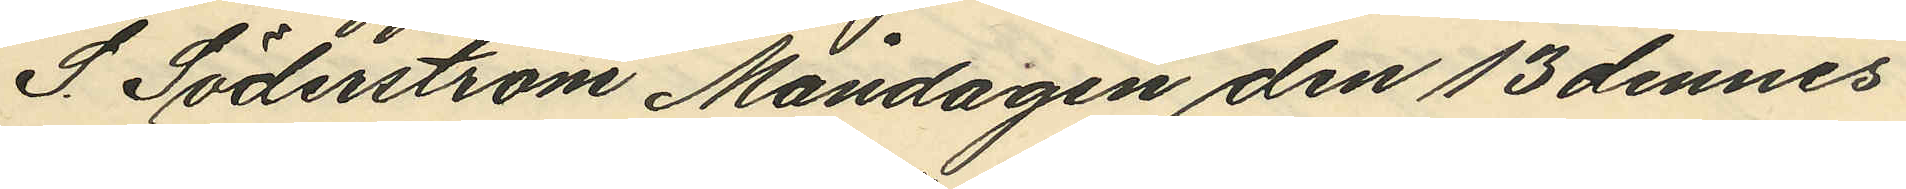S. Söderström Måndagen den 13 dennes
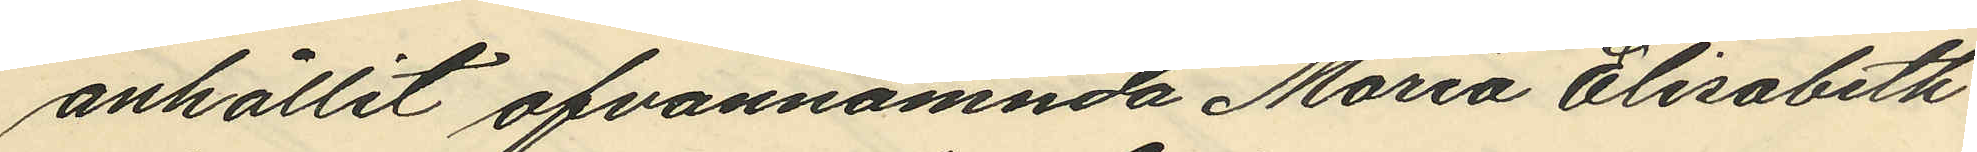anhållit ofvannämnda Maria Elisabeth
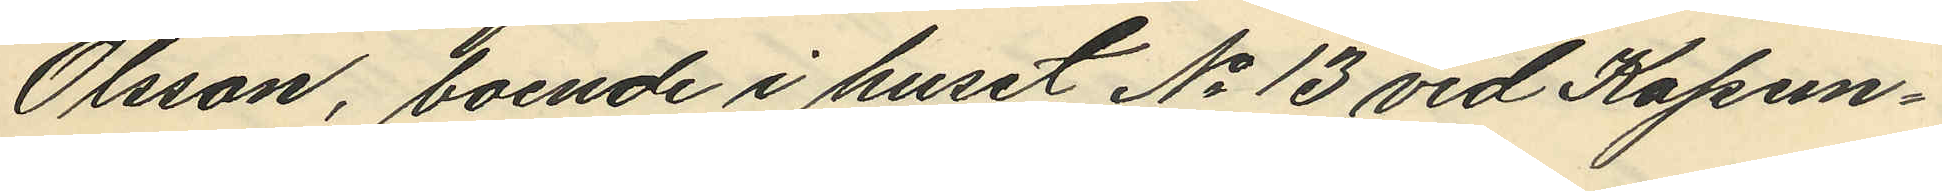Olsson, boende i huset No 13 vid Kapun¬
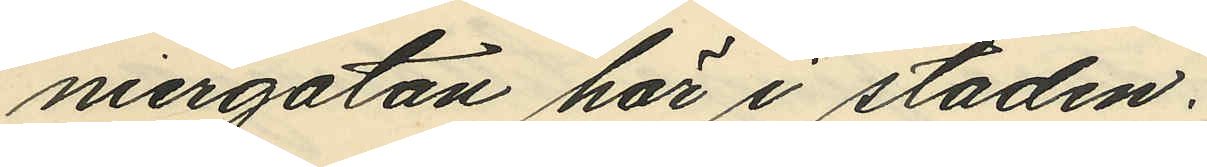niergatan här i staden.
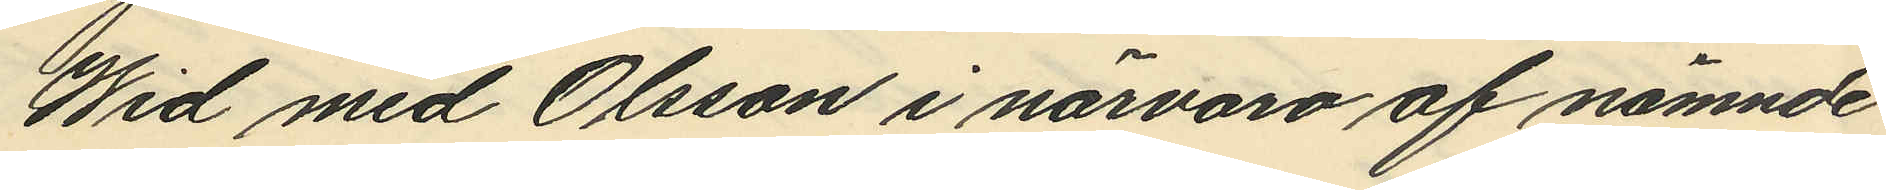Wid med Olsson i närvaro af nämnde
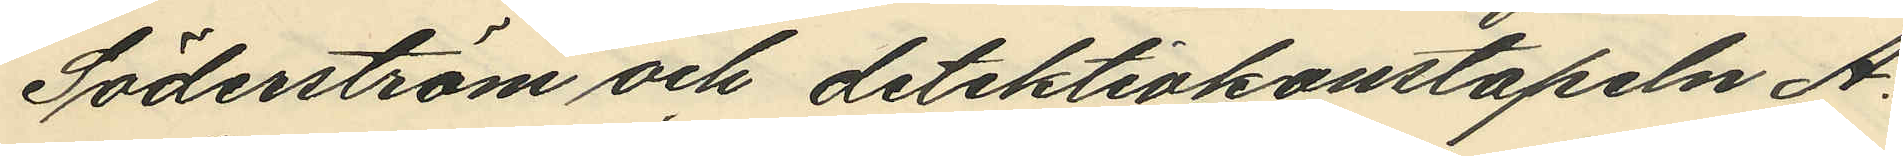Söderström och detektivkonstapeln A.
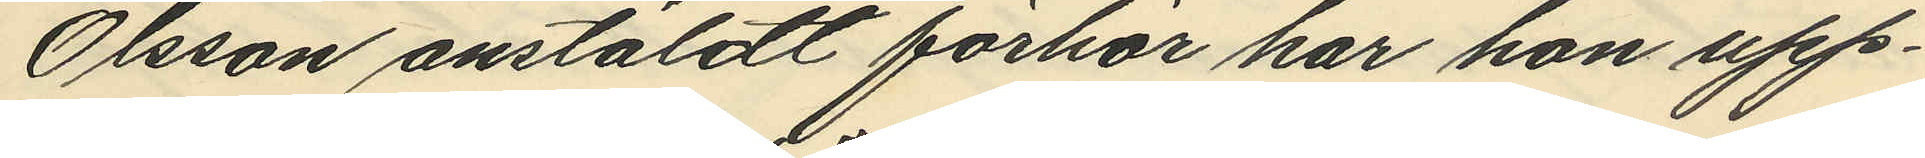Olsson anstäldt förhör har hon upp¬
